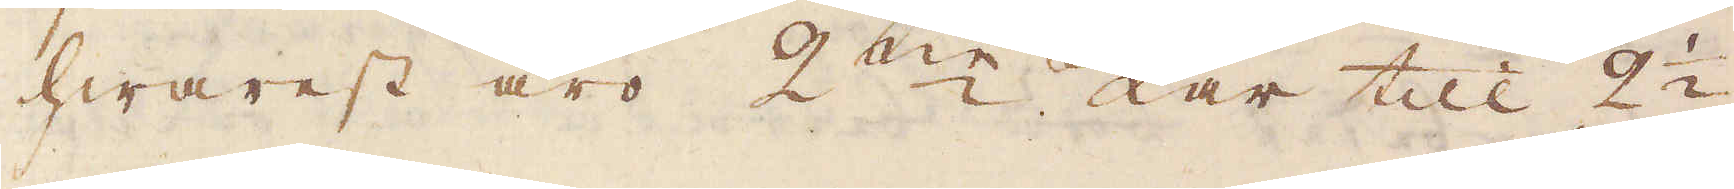hwarest äro 2ne kar till 2 1/2
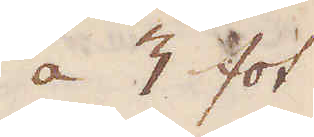a 3 fot
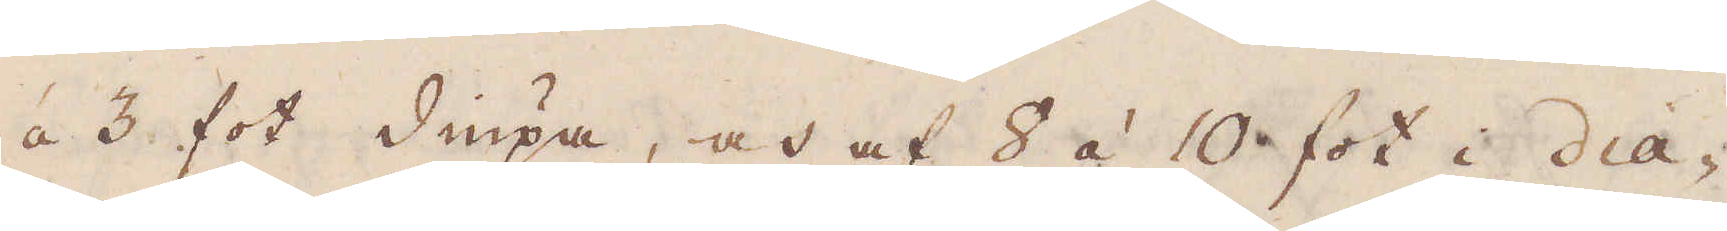á 3 fot diupa, och af 8 á 10 fot i dia-
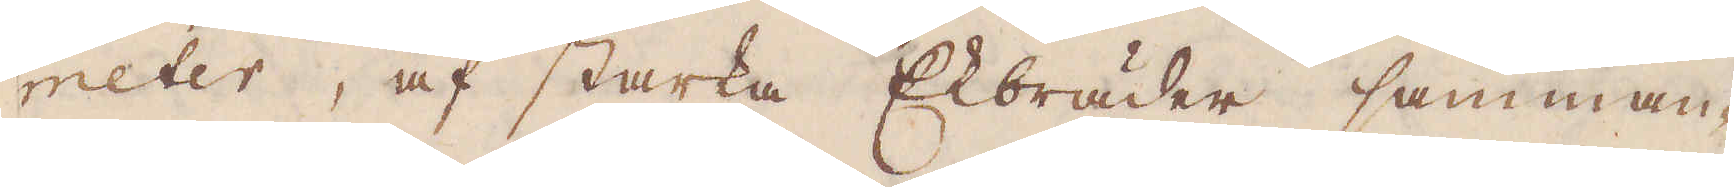meter, af starka Ekbräder samman-
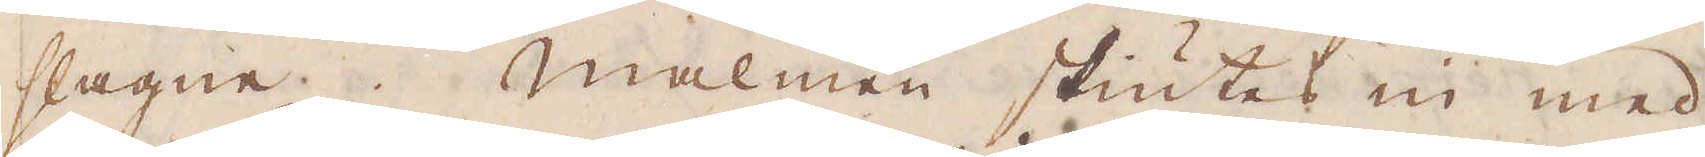slagne. Malmen skiutes in med
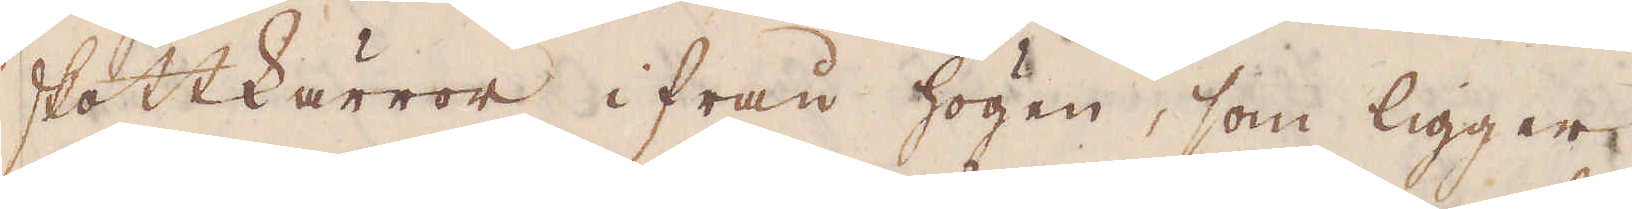skottkärror ifrån högen, som ligger
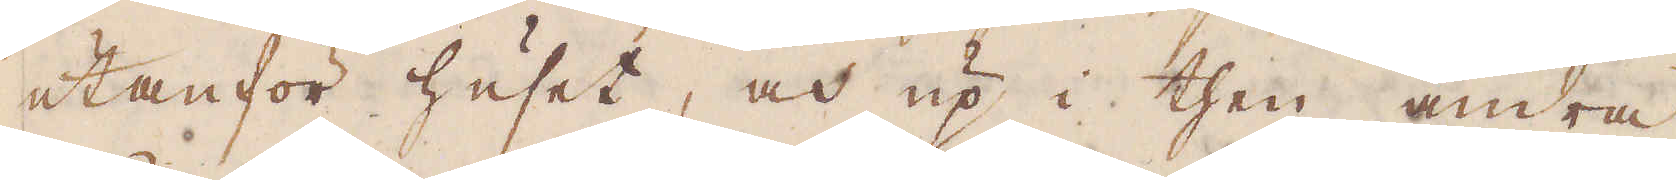utanför huset, och up i then andra
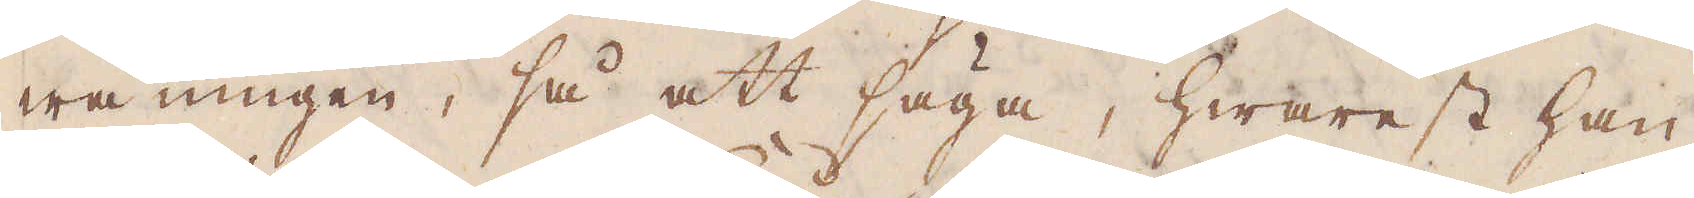wåningen, så att säga, hwarest han
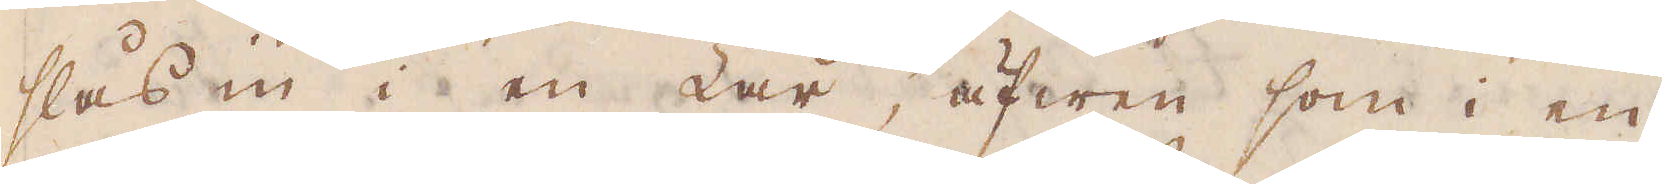slås in i en Lar, äfwen som i en
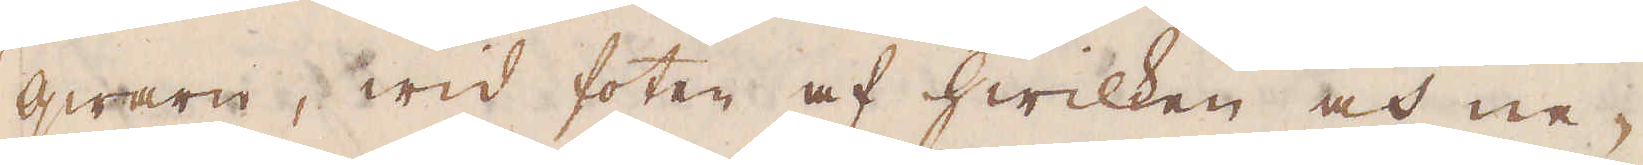qwarn, wid foten af hwilken och ne-
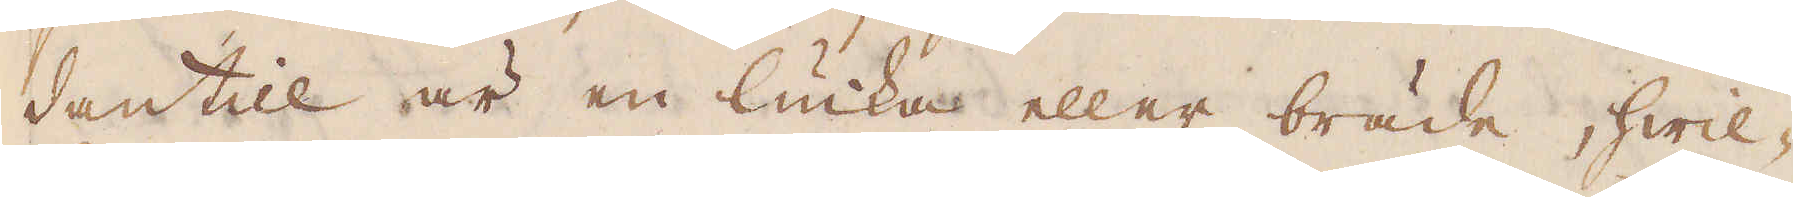dantill är en lucka eller bräde, hwil-
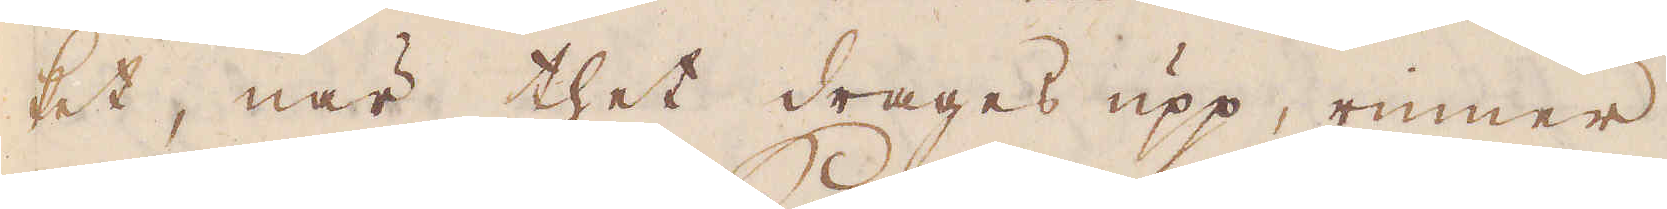ket, när thet drages upp, rinner
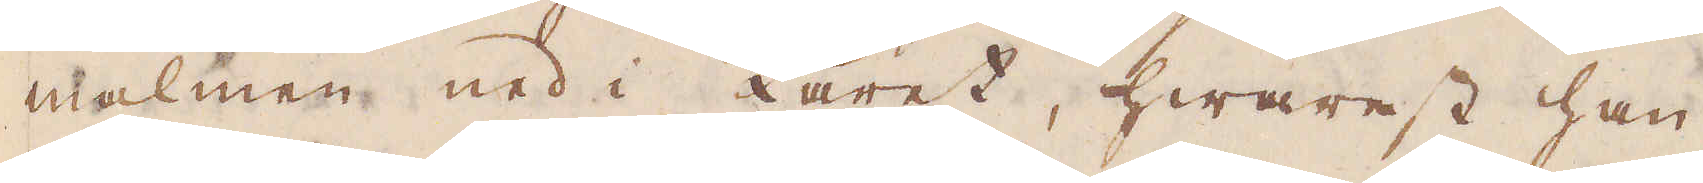malmen ned i karet, hwarest han
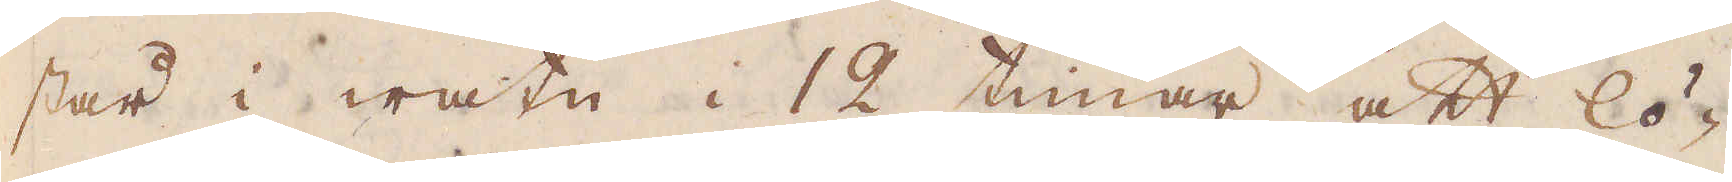står i watn i 12 timar att lö-
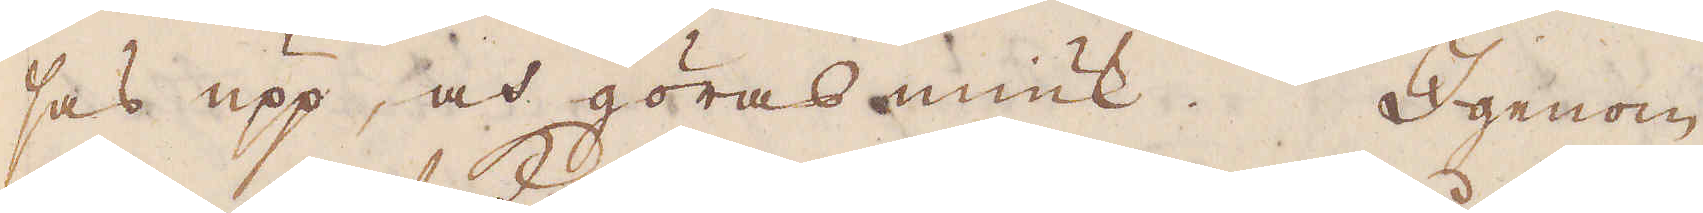ses upp, och göras miuk. Igenom
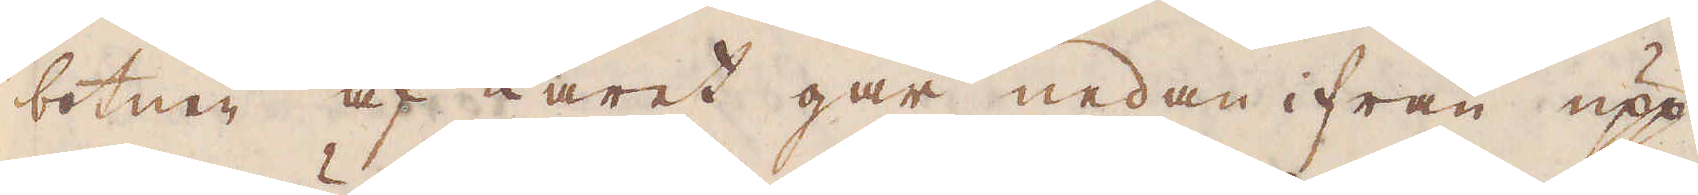botnen af karet går nedan ifrån upp
